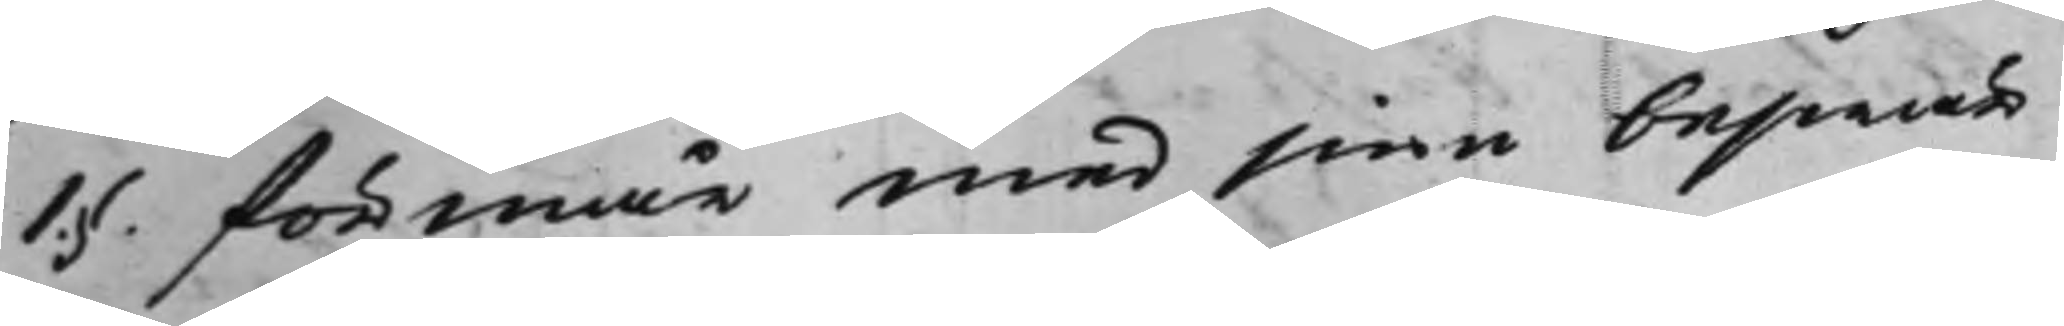1.§. förmår med sine beswär
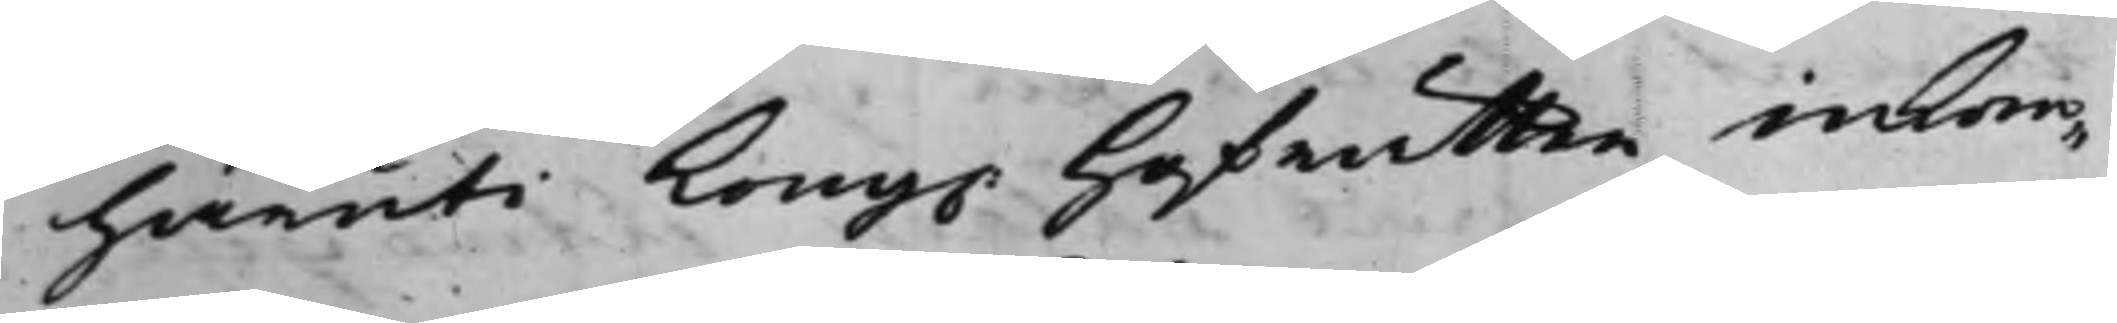häruti Kong. Hofrätten inkom¬
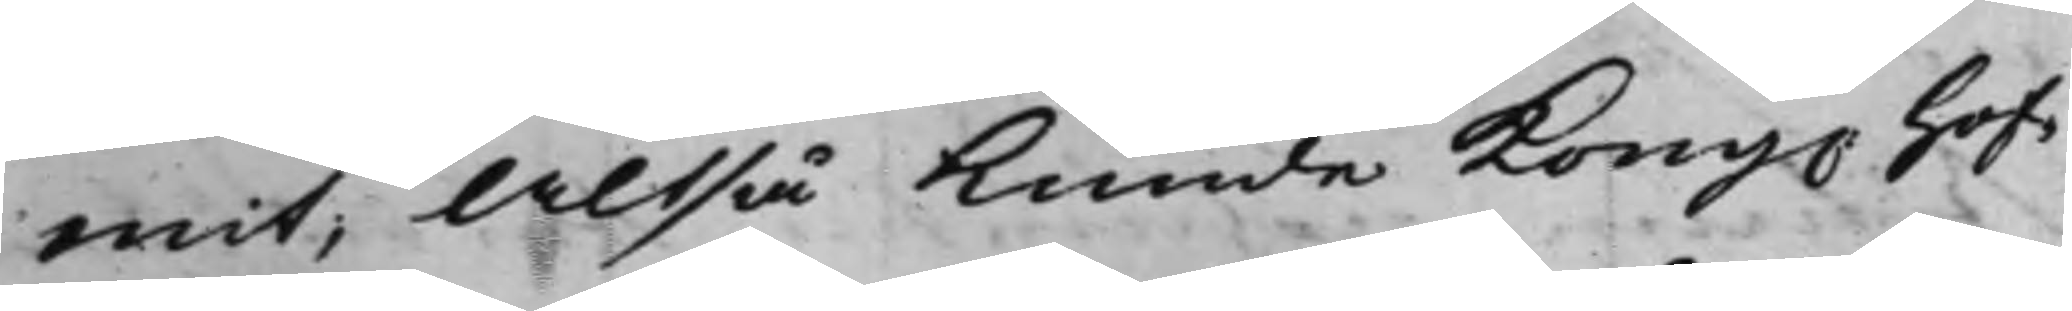mit; Altså kunde Kong. Hof¬
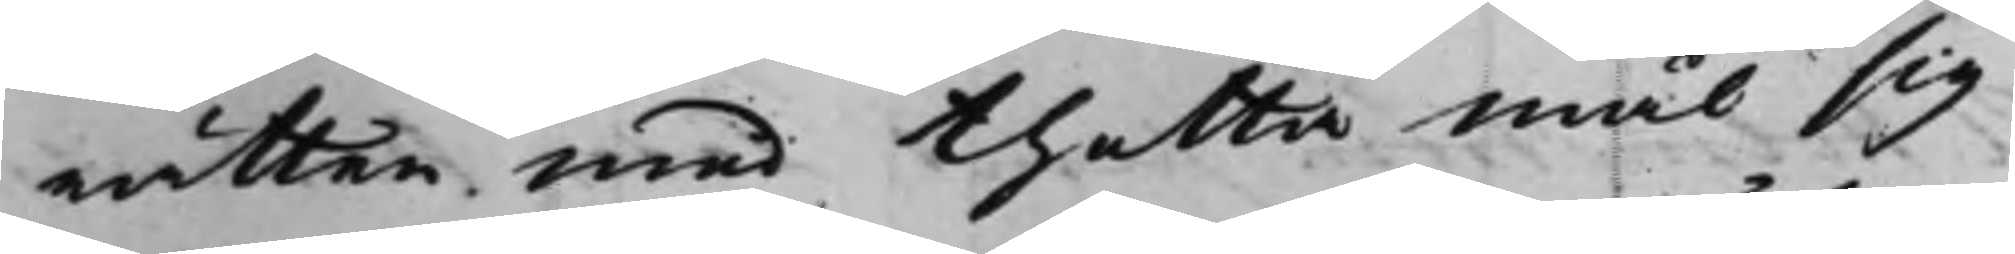rätten med thetta mål sig
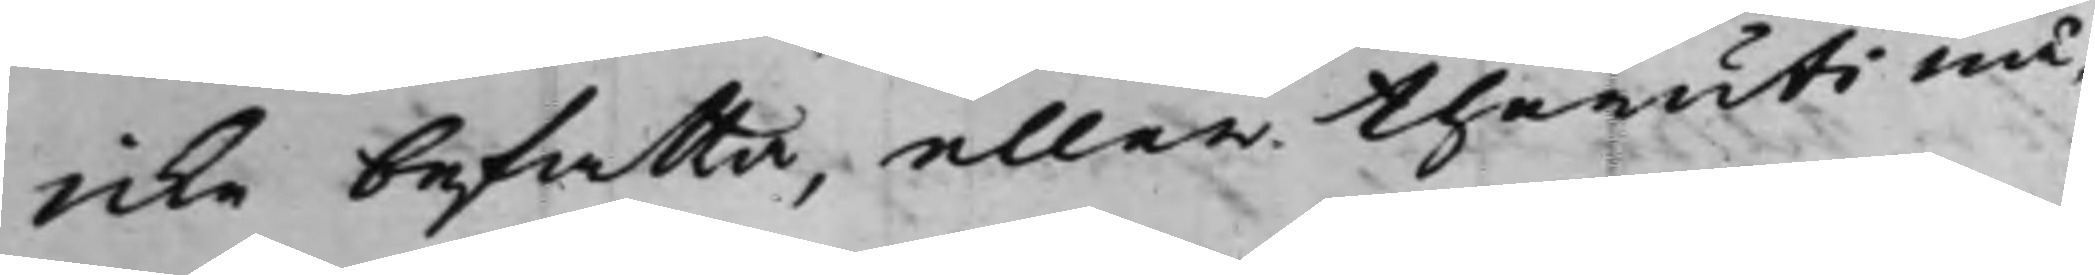icke befatta, eller theruti nå¬
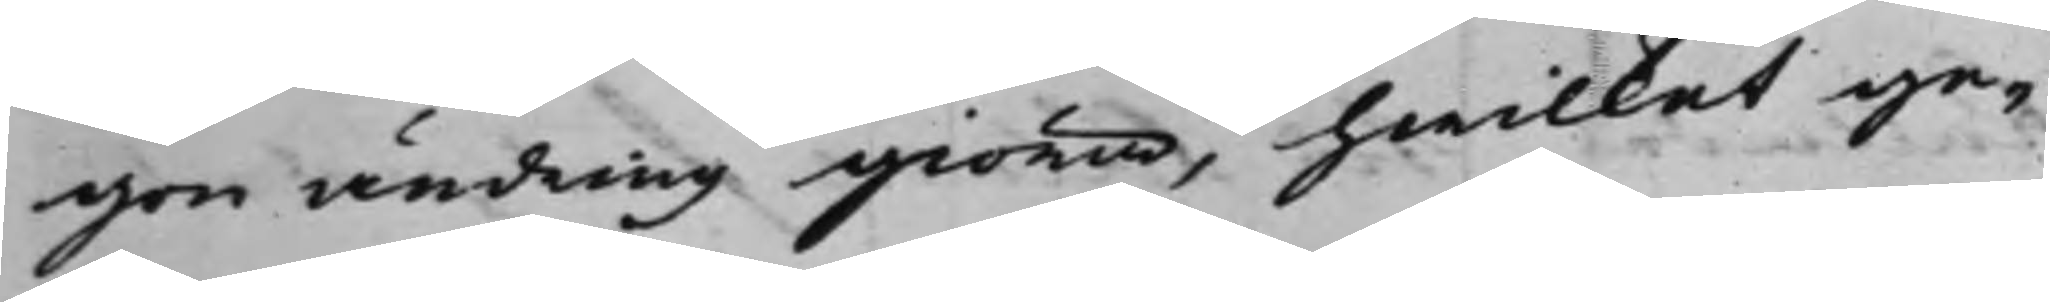gon ändring giöra, hwilket ge¬
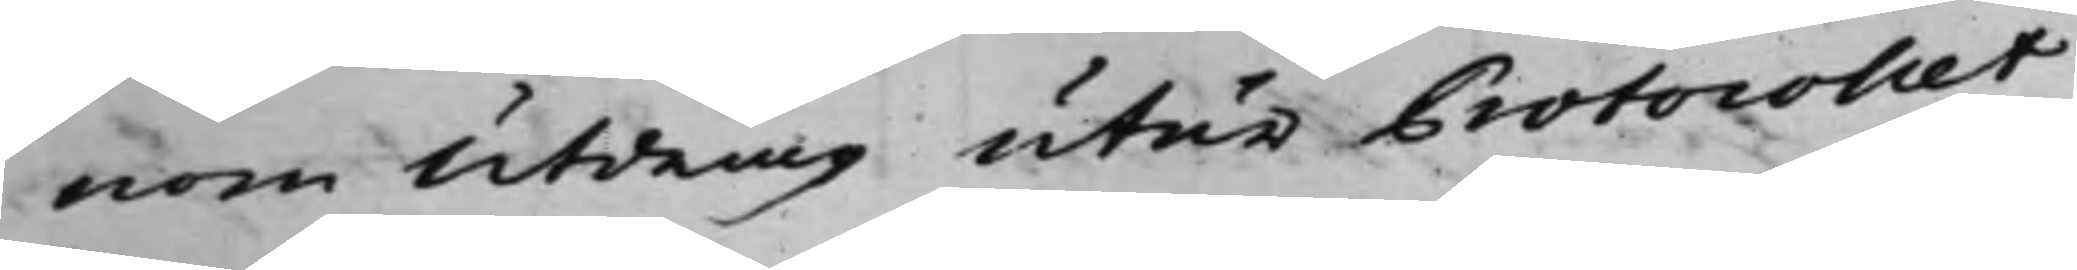nom Utdrag utur Protocollet
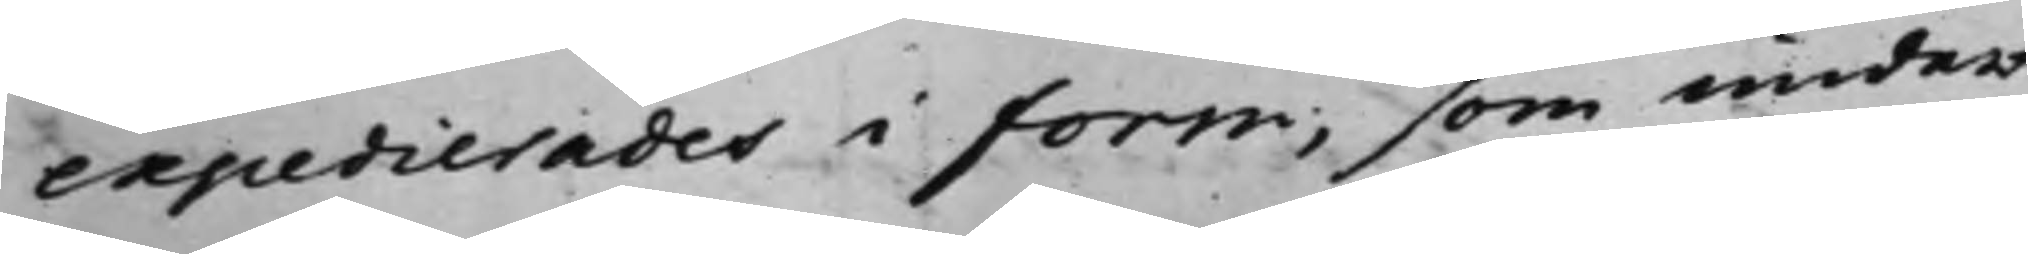expedierades i form, som under
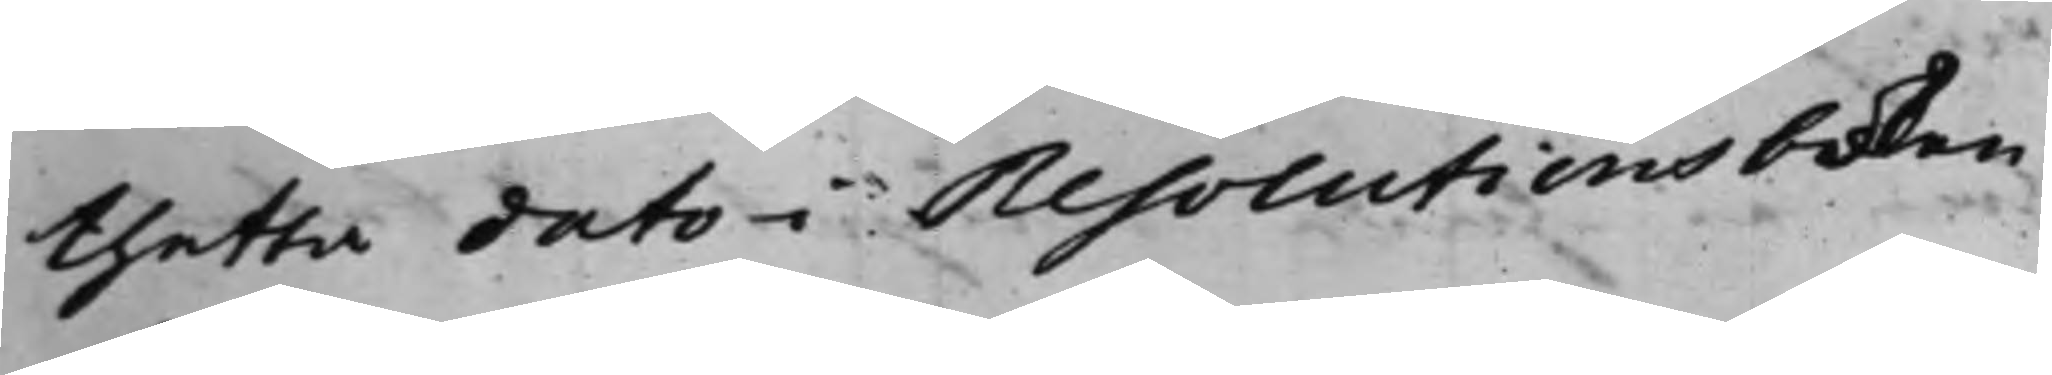thetta dato i Resolutionsboken
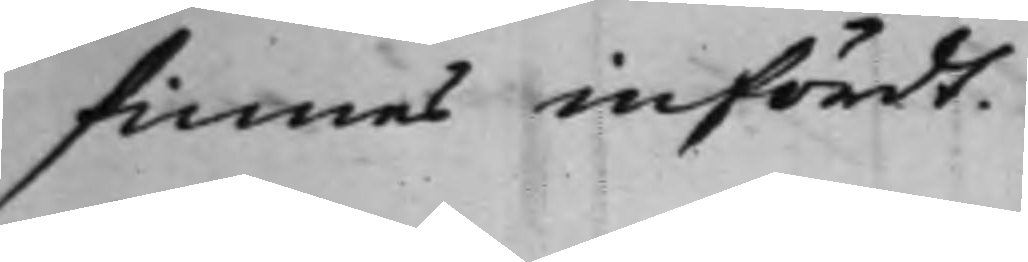finnes infördt.
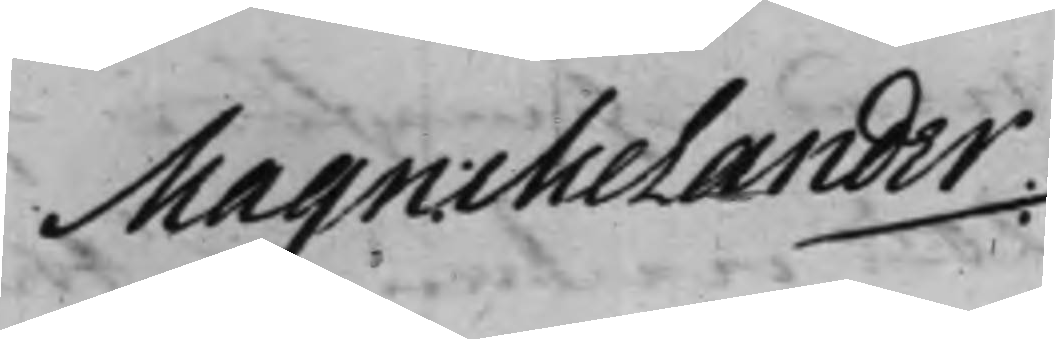Magn: Melander
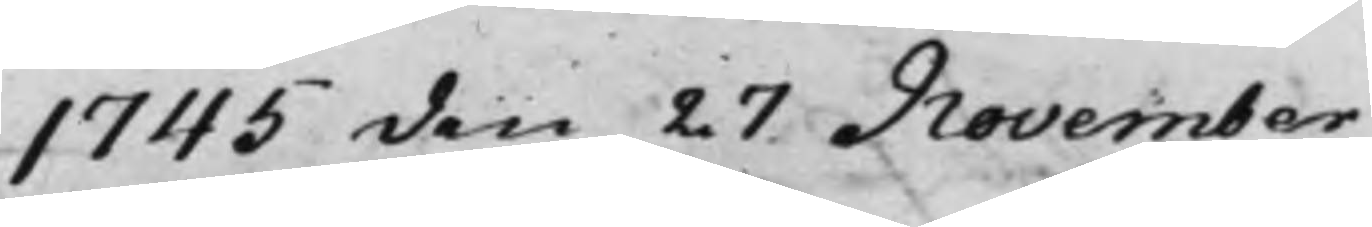1745 den 27 November
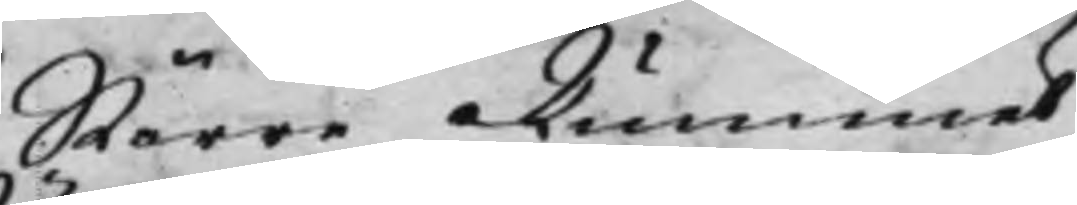Större Rummet
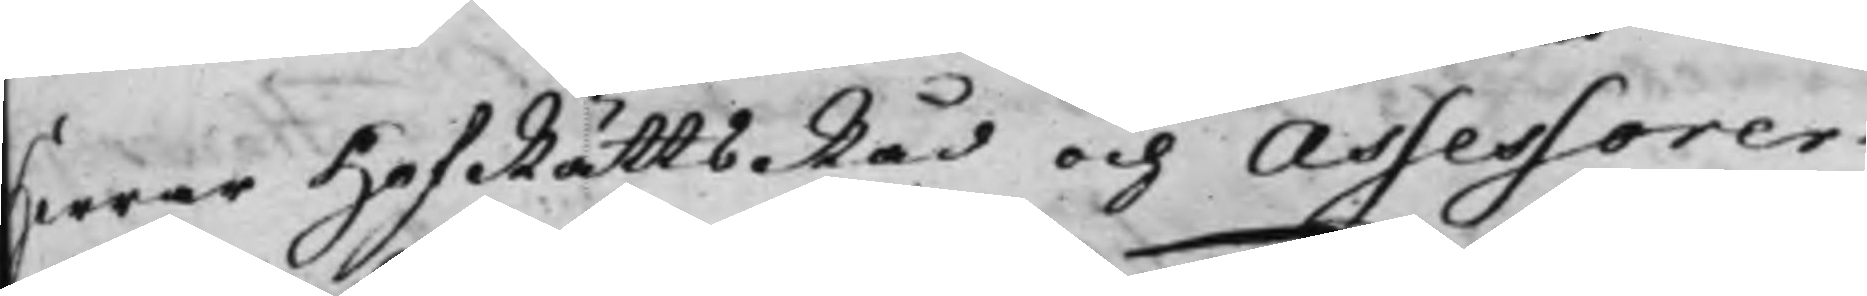Herrar HofRättsRåd och Assessorer.
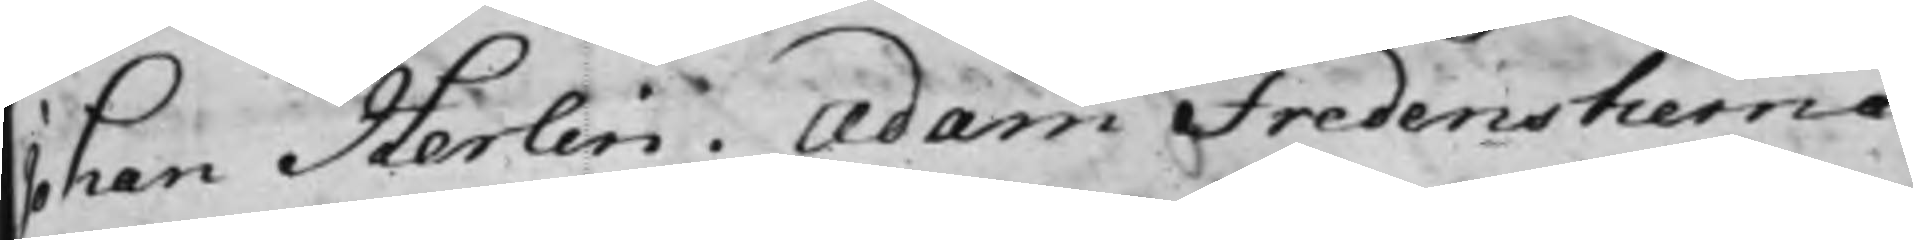Johan Herlin. Adam Fredenstierna
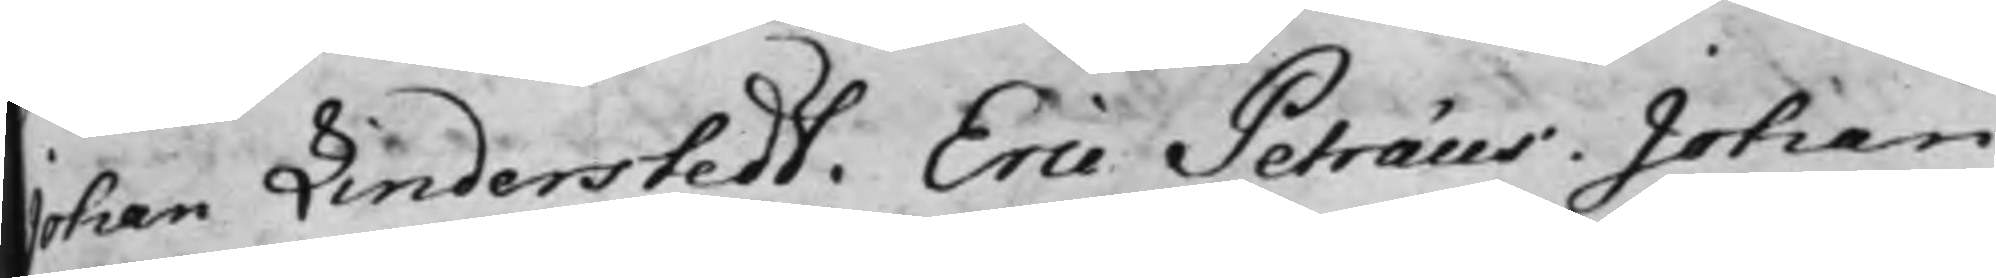Johan Linderstedt. Eric Petræus. Johan
